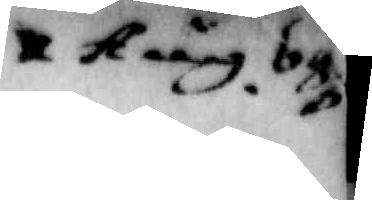X Aug. 680
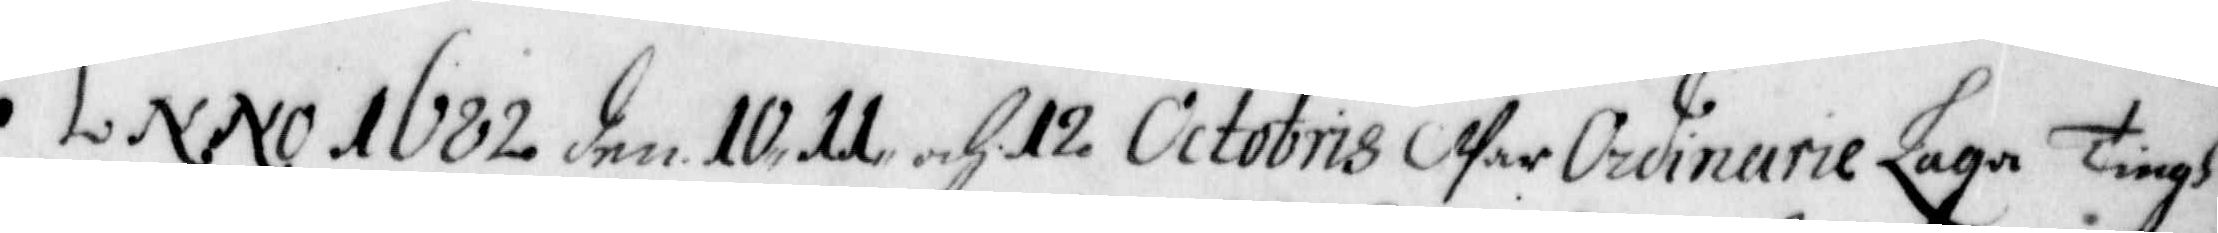Anno 1682 den 10, 11 och 12 Octobris War Ordinarie Laga Tingh
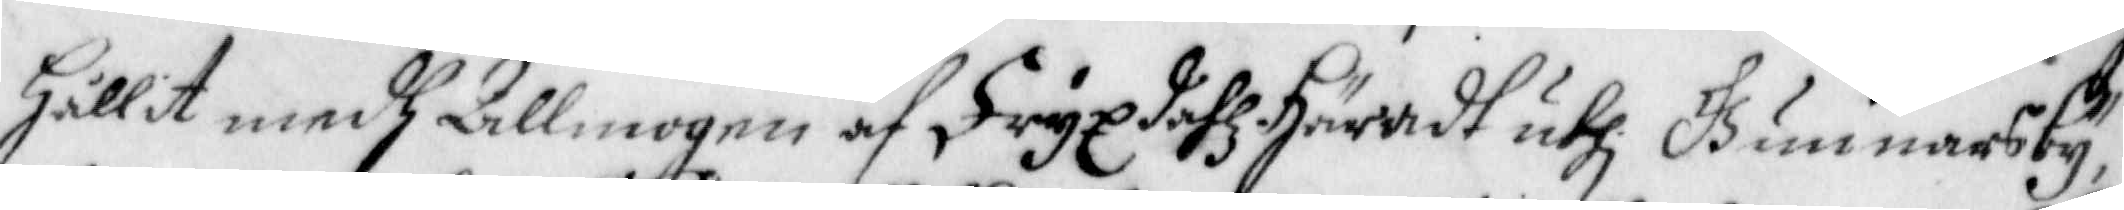Hållit medh Allmogen af Fryxdahl Häradt uthi Gunnarsby,
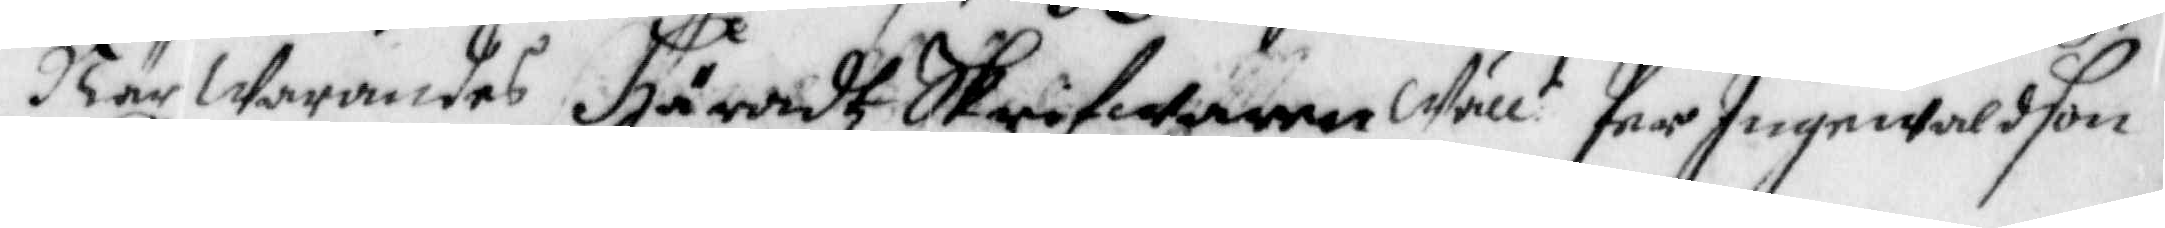Närwarandes Häradhz Skrifwaren Wäll:t Per Ingewaldson
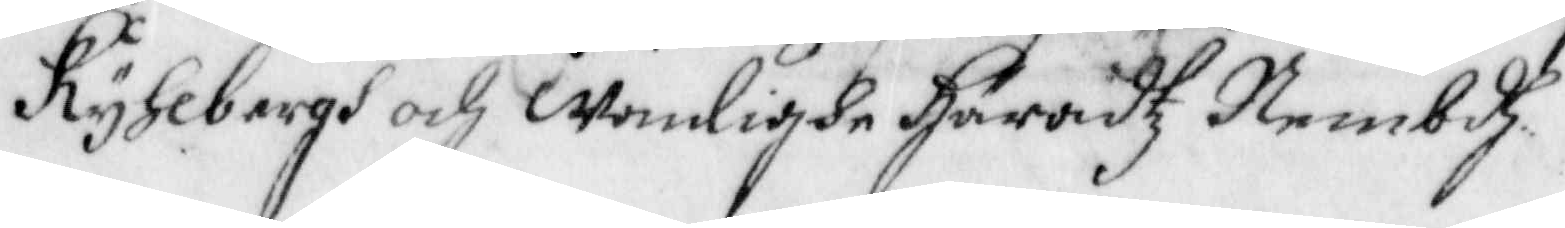Ryhlbergh och wanlighe Häradz Nembdh.
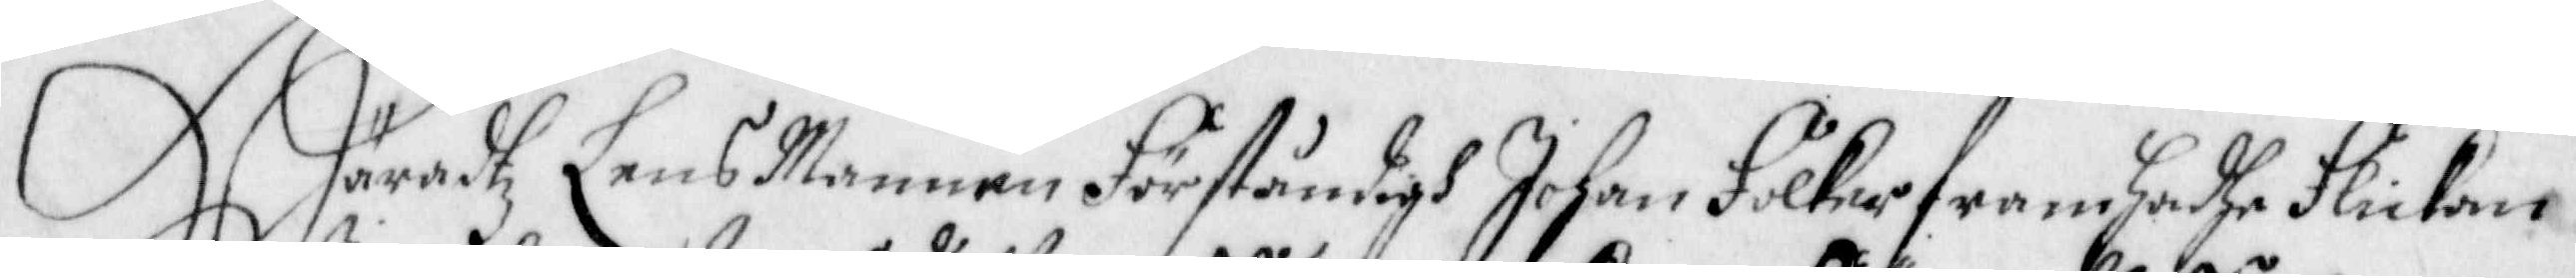Häradtz Lens Mannen Förståndigh Johan Hölker framhadhe Flickan
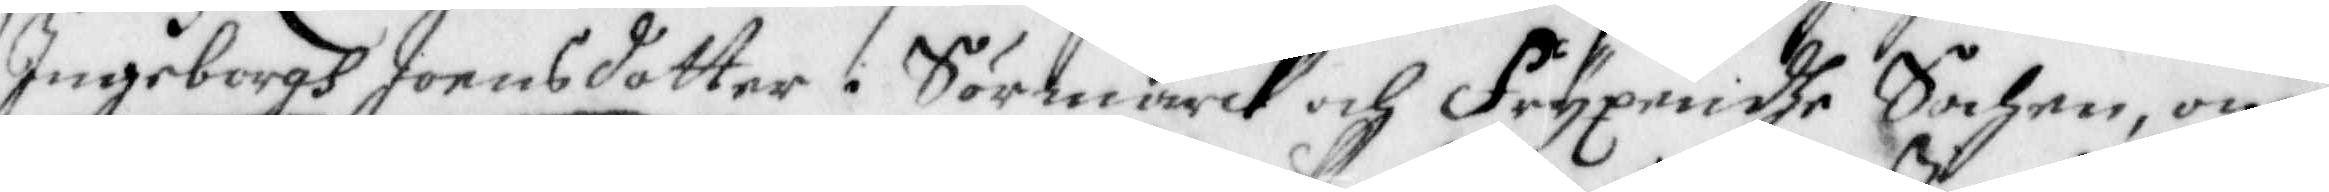Ingeborgh Joensdotter i Sörmarck och Fryxendhe Sochen, om
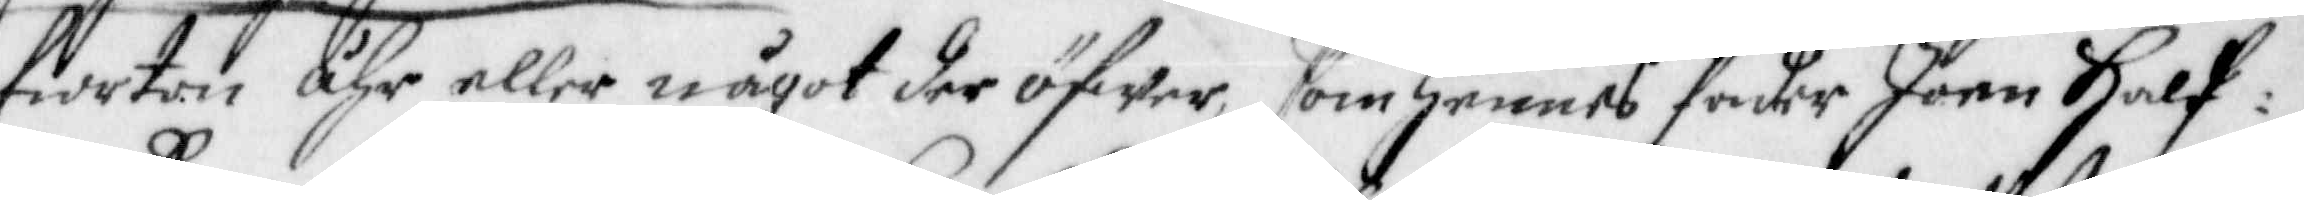fiorton åhr eller något der öfwer, som hennes fader Joen Half¬
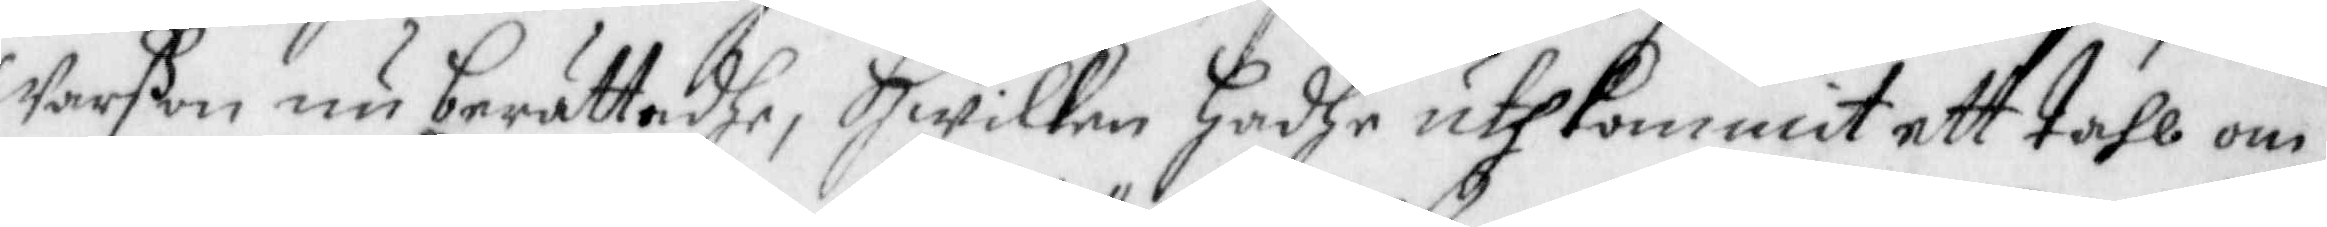Warßon nu berättadhe, Hwilken hadhe uthkommit ett tahl om
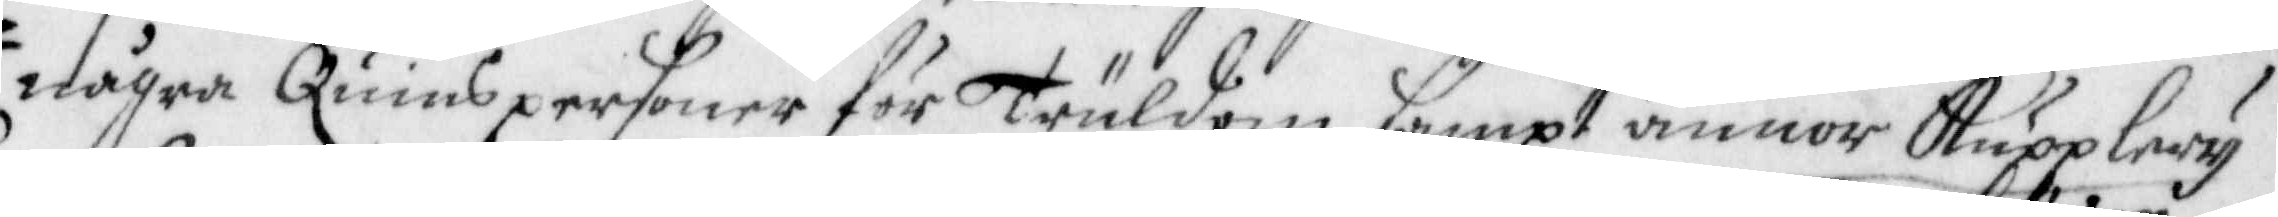några Quinspersoner för Truldom sampt annor Kupplery
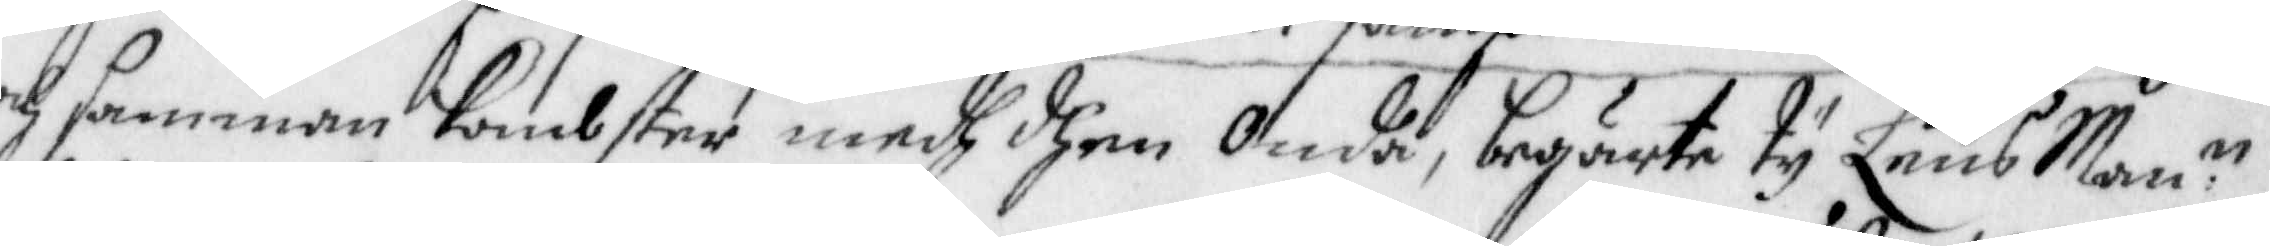och sammankombster medh dhen Onda, begärte ty Lens Man:n
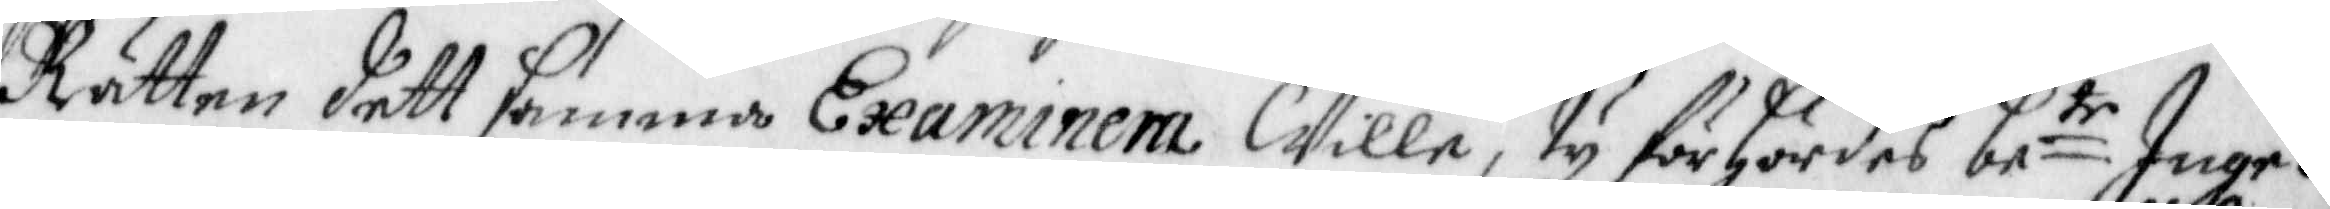Rätten dett samma Examinera Wille, ty förhördes be:te Inge¬
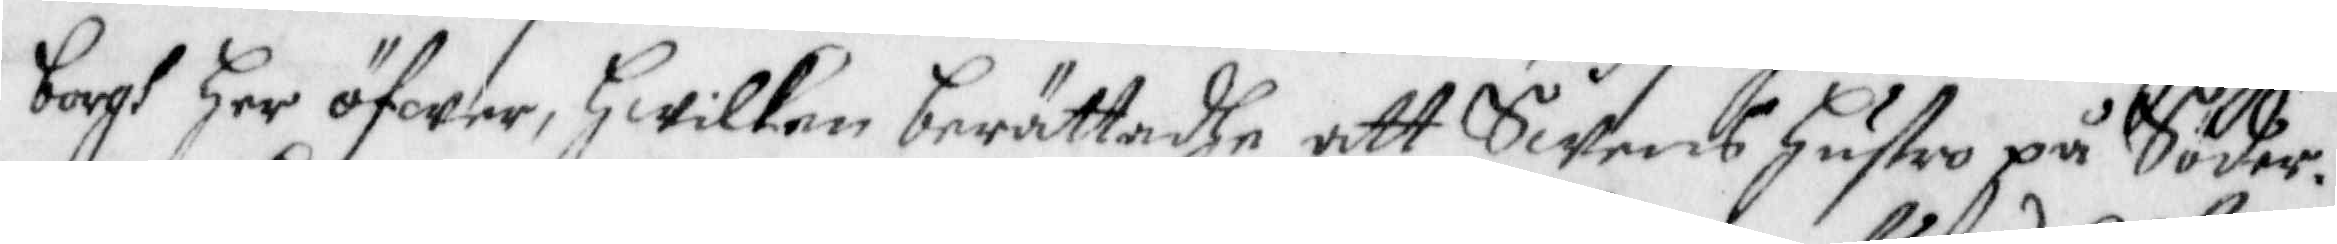borgh Her öfwer, Hwilken berättadhe att Swens hustru på Söder¬
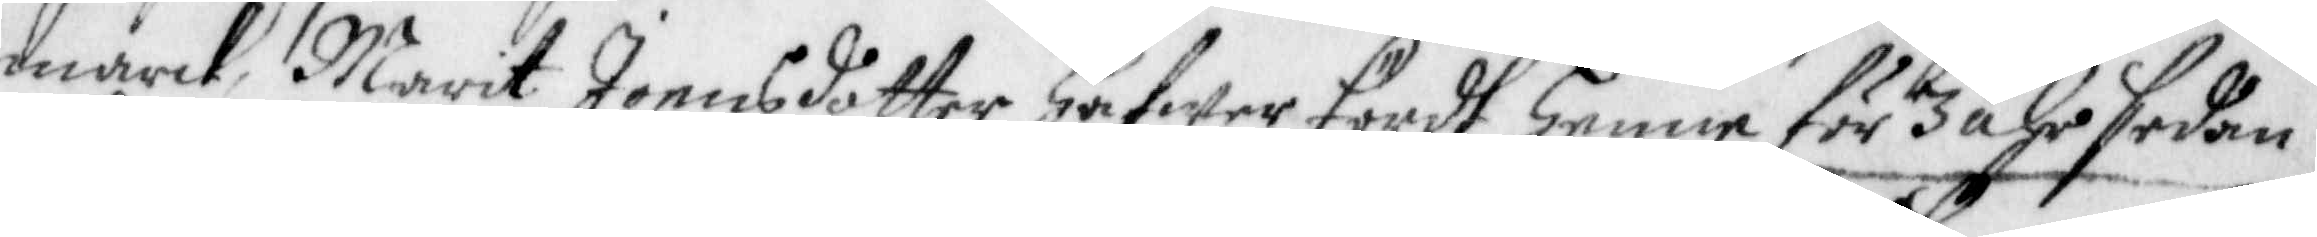marck, Marit Joensdotter hafwer fördt henne för 3 åhr sedan
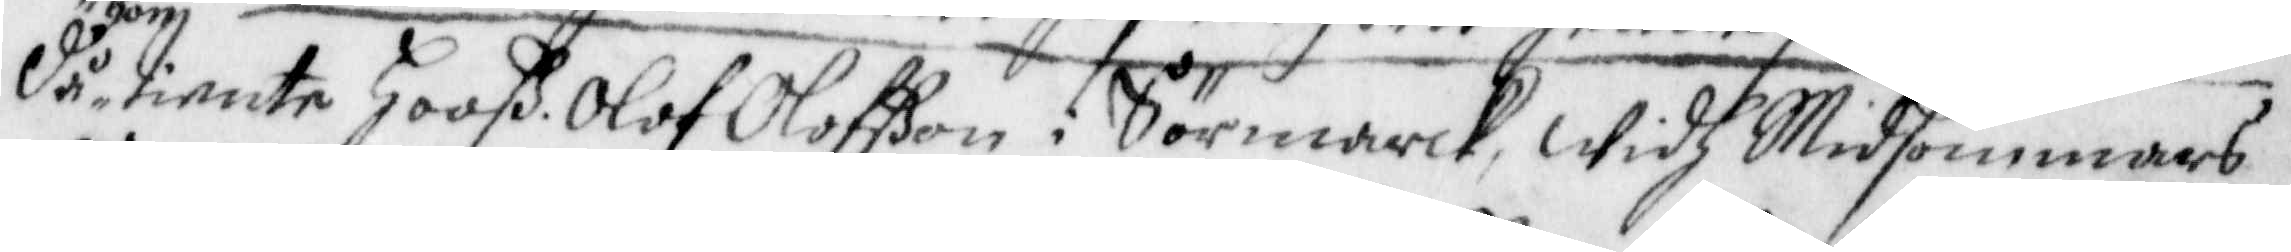Då hon tiente Hooß Olof Olofßon i Sörmarck, widh Midsommars
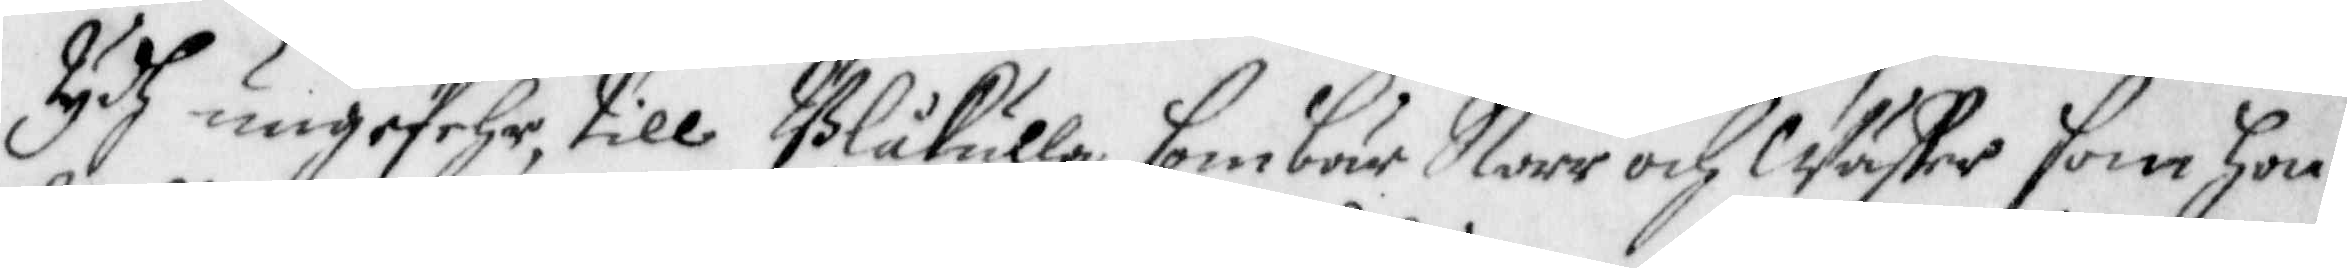tydh ungefehr, till Blåkulla som bär Norr och Wäster som hon
